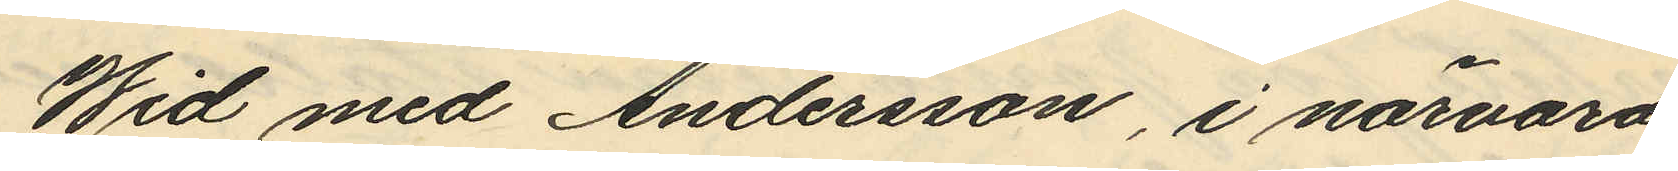Wid med Andersson, i närvaro
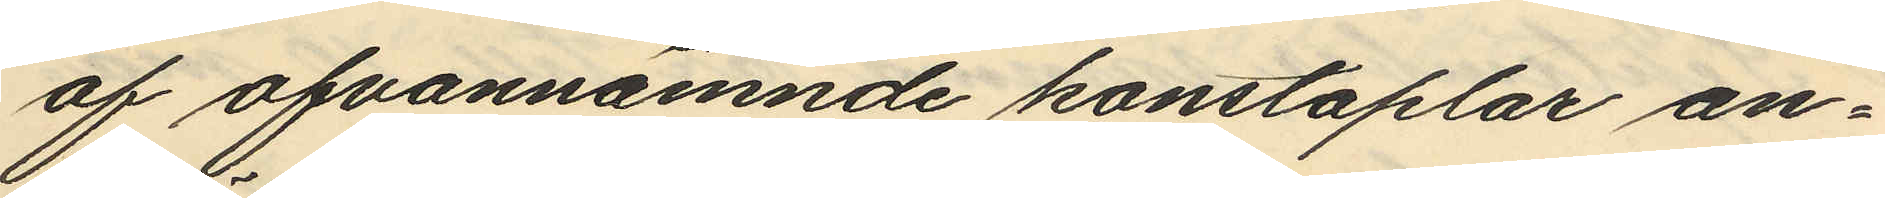af ofvannämnde konstaplar an¬
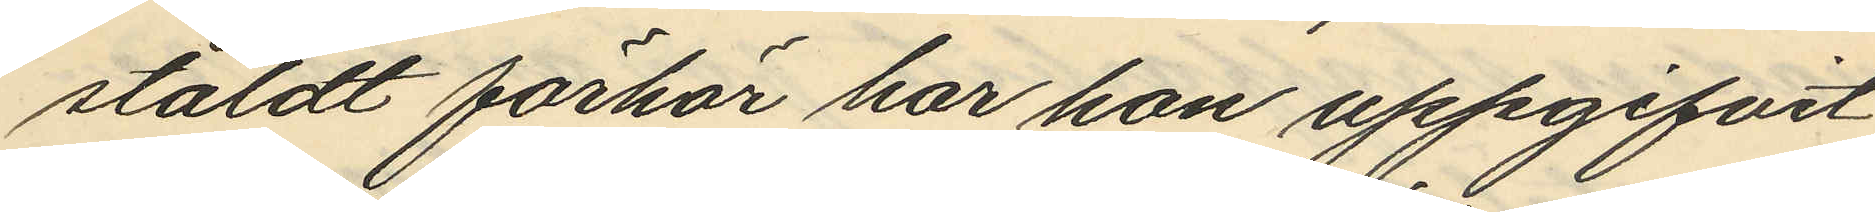stäldt förhör har hon uppgifvit
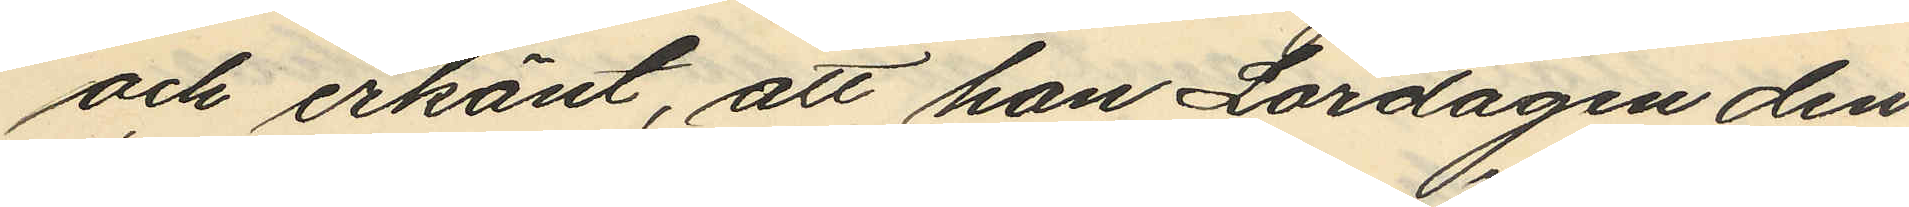och erkänt, att hon Lördagen den
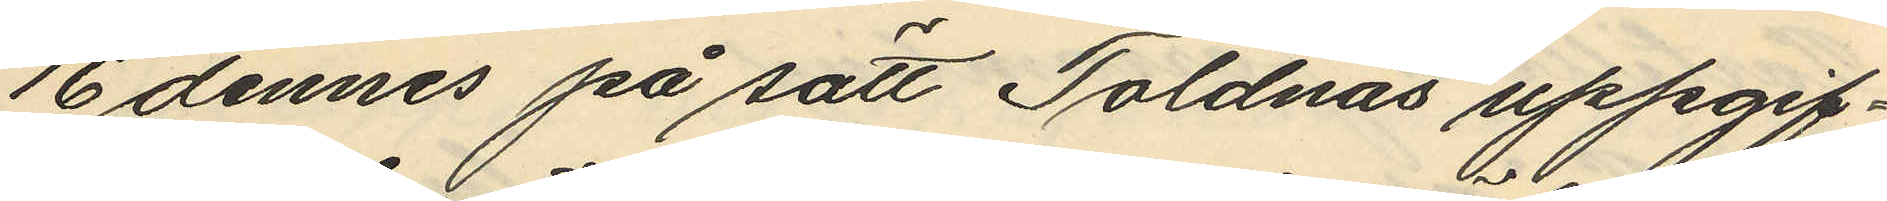16 dennes på sätt Toldnäs uppgif¬
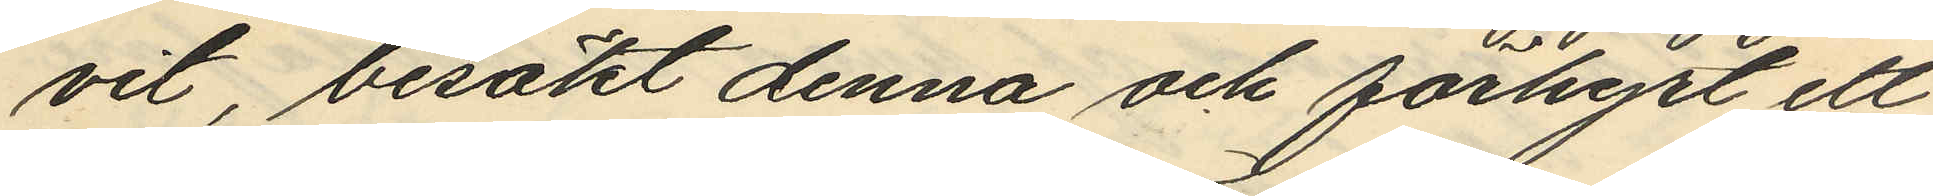vit, besökt denna och förhyrt ett
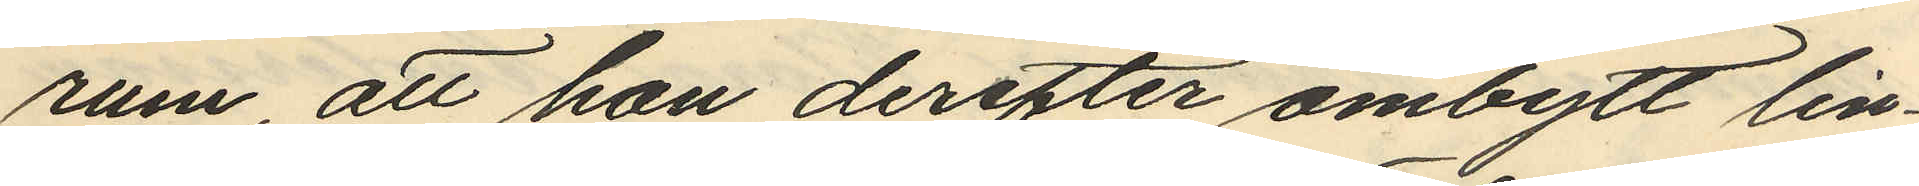rum att hon derefter ombytt lin¬
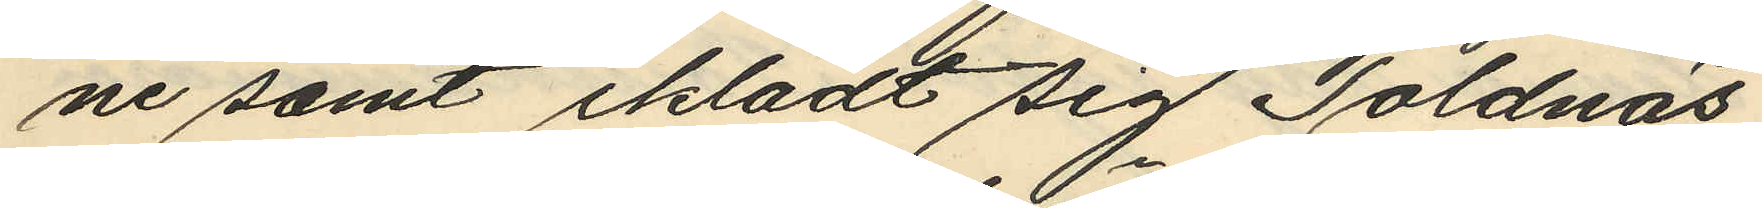ne samt iklädt sig Toldnäs
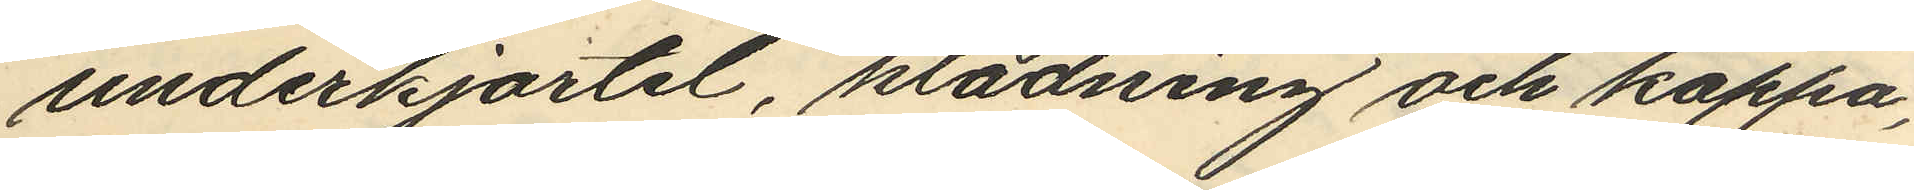underkjortel, klädning och kappa,
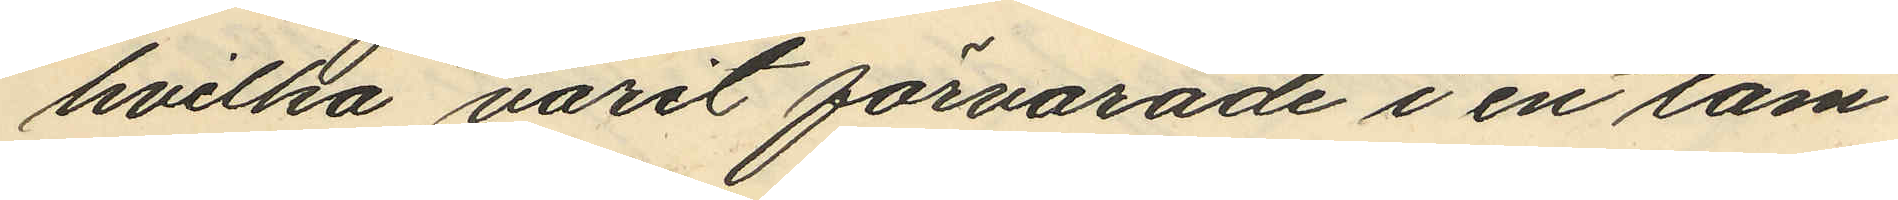hvilka varit förvarade i en tam¬
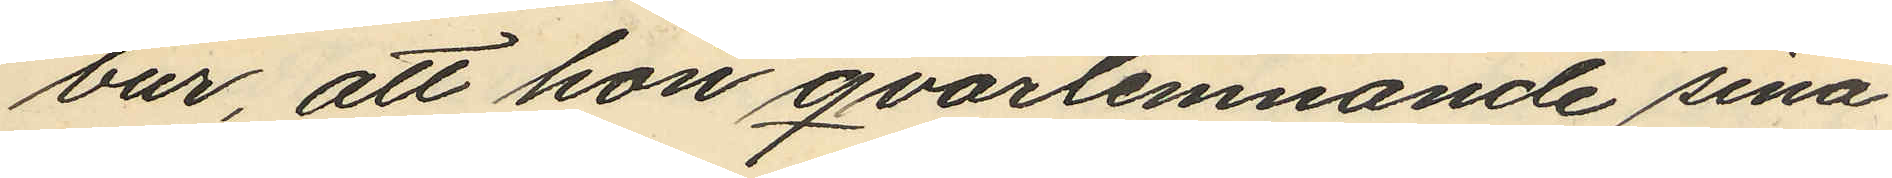bur, att hon qvarlemnande sina
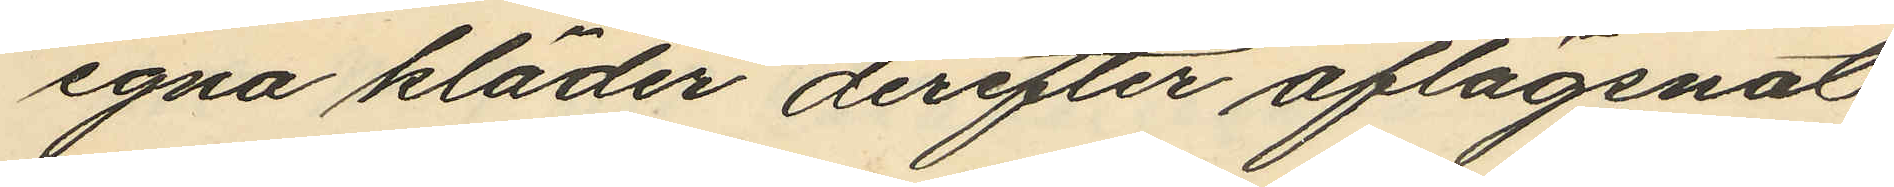egna kläder derefter aflägsnat
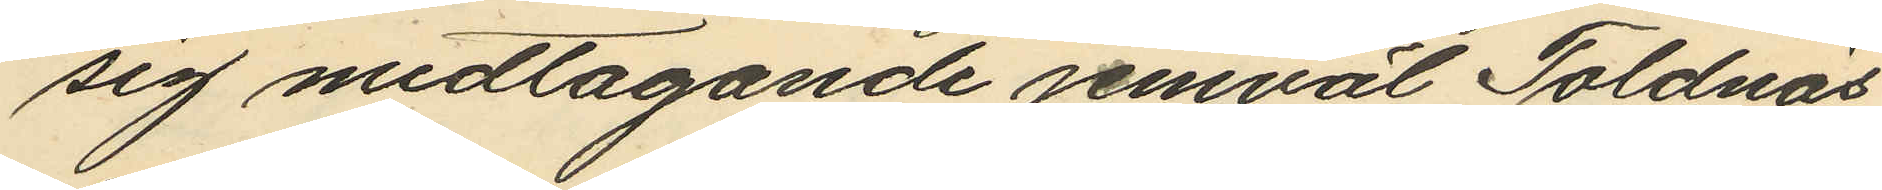sig medtagande jemväl Toldnäs
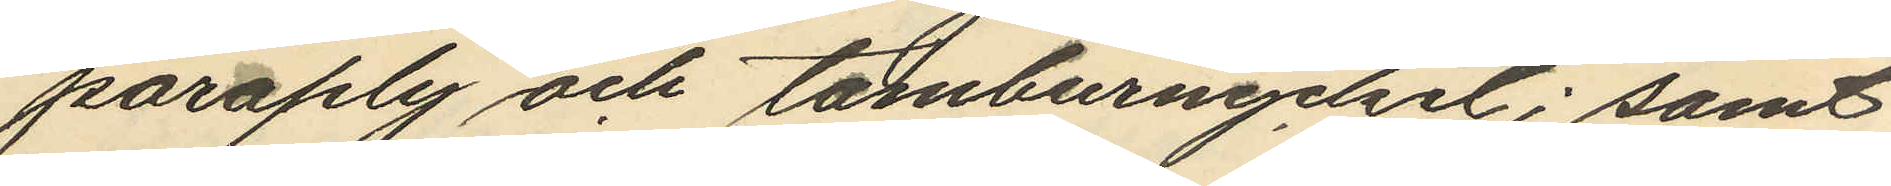paraply och tamburnyckel; samt
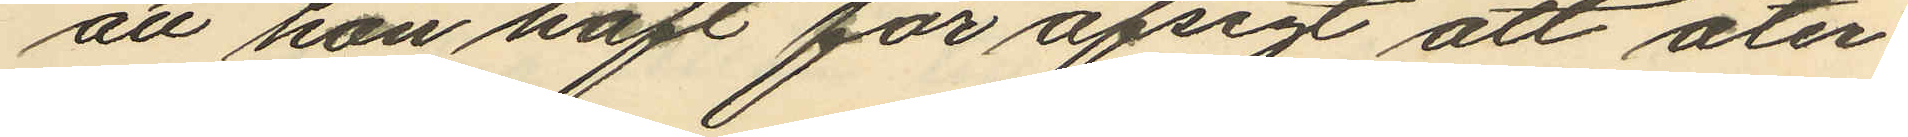att hon haft för afsigt att åter¬
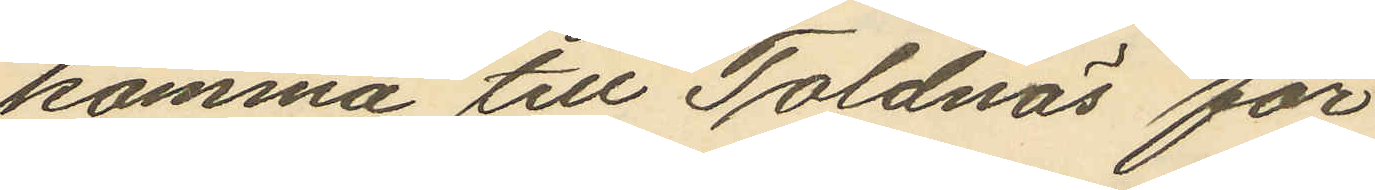komma till Toldnäs för
